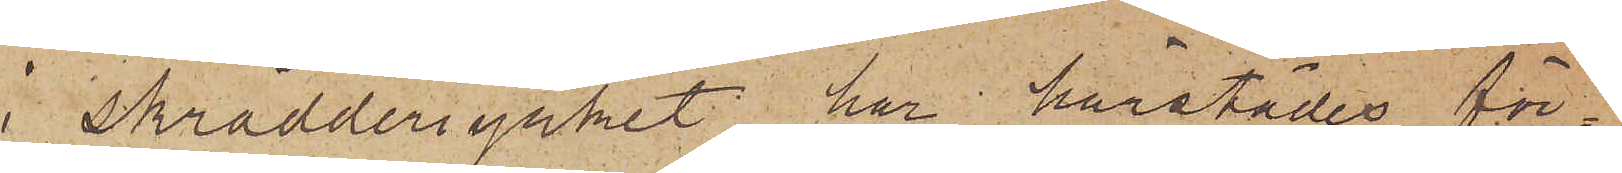i skrädderiyrket har härstädes för¬
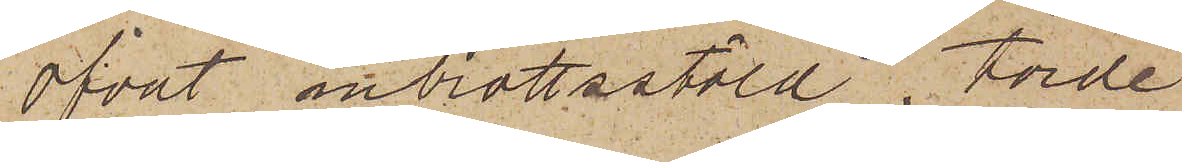öfvat inbrottsstöld, torde
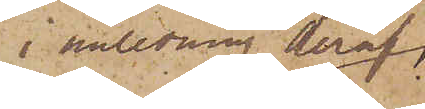i anledning deraf
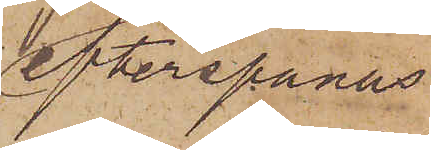efterspanas
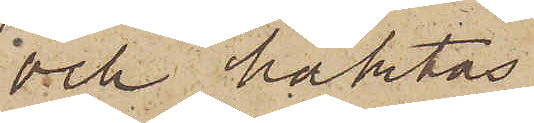och häktas.
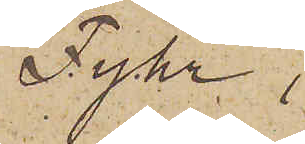Fyhr,
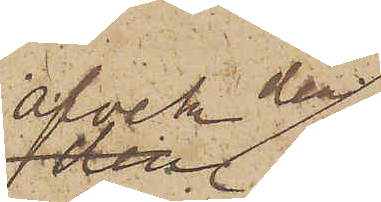afvek den 
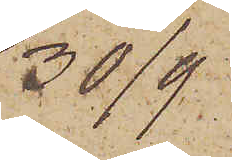30/9
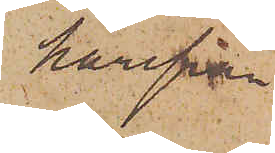härifrån
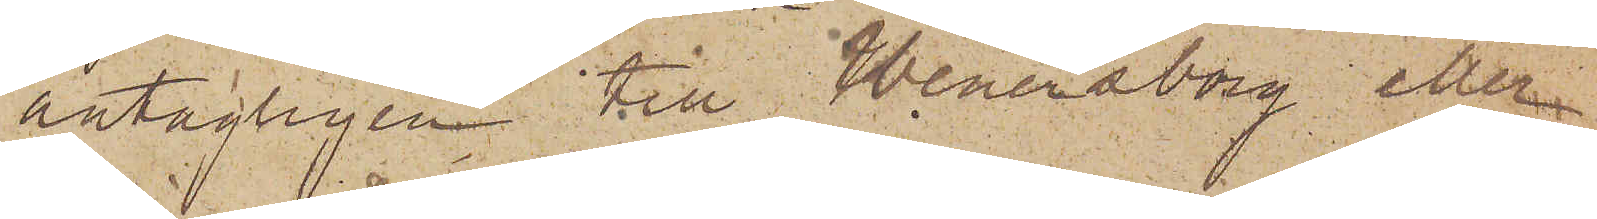antagligen till Wenersborg eller
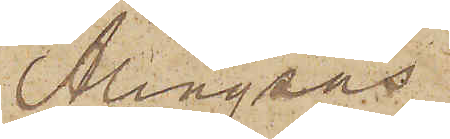Alingsås.
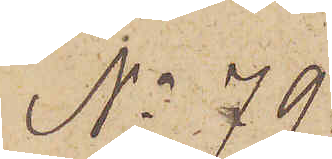No 79
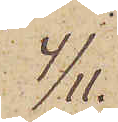4/11
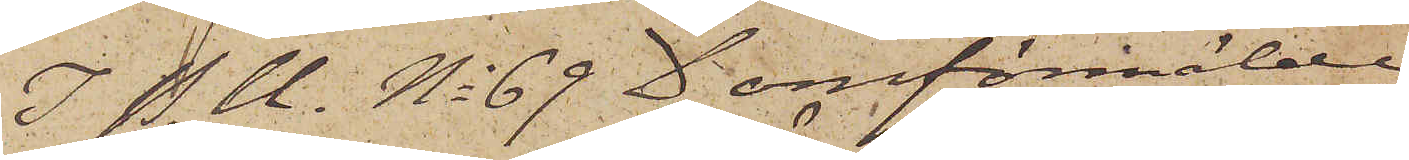I P. U. No 69 D omförmälde
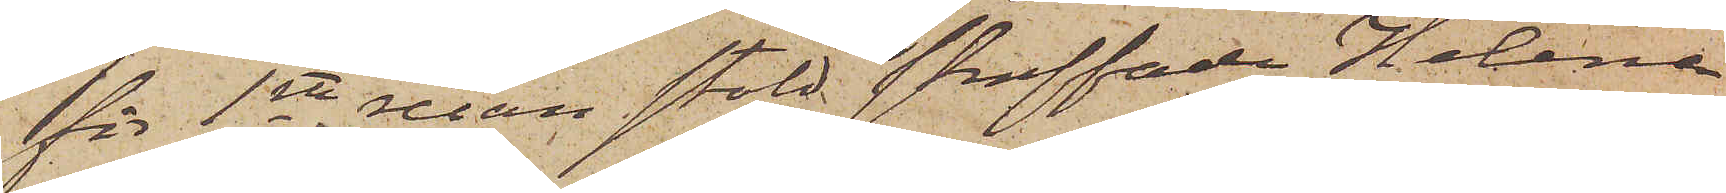för 1sta resan stöld straffade Helena
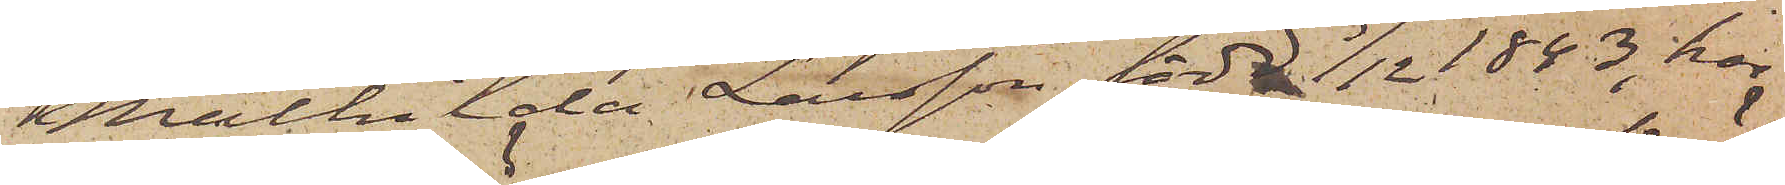Mathilda Larsson, född 3/12 1843, har
